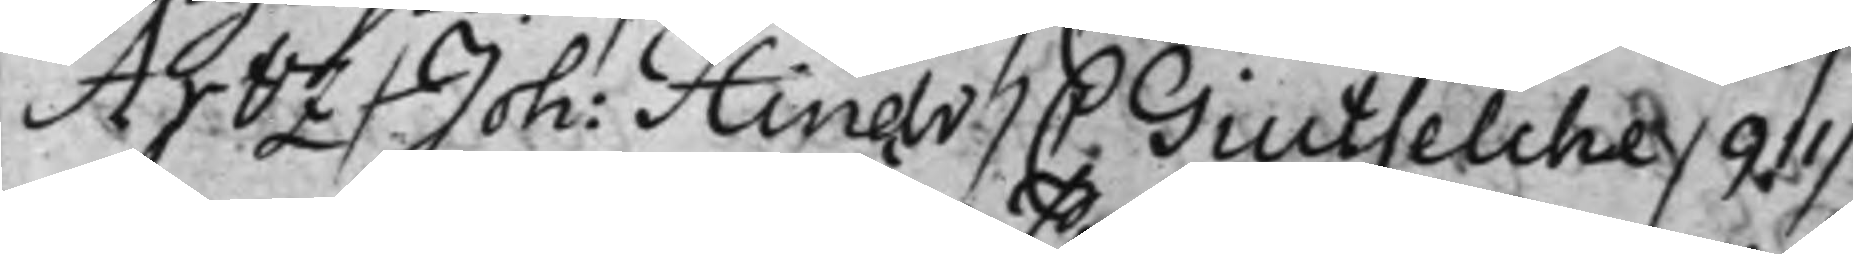Arbz / Joh: Hindr. / C. Giutselche / 911 /
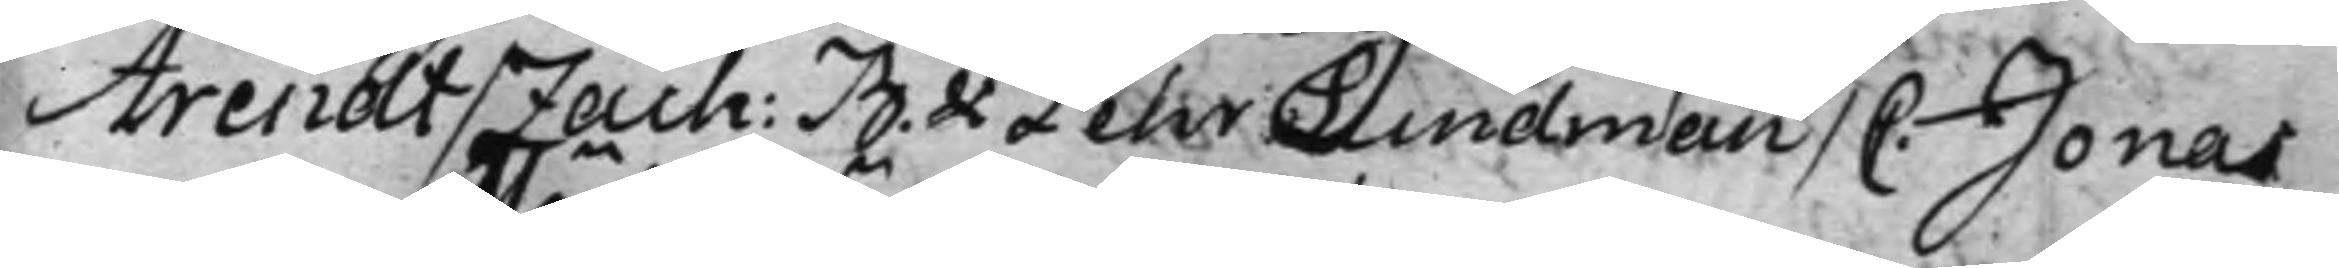Arendt / Zach: B. & Pehr Lindman / C. Jonas
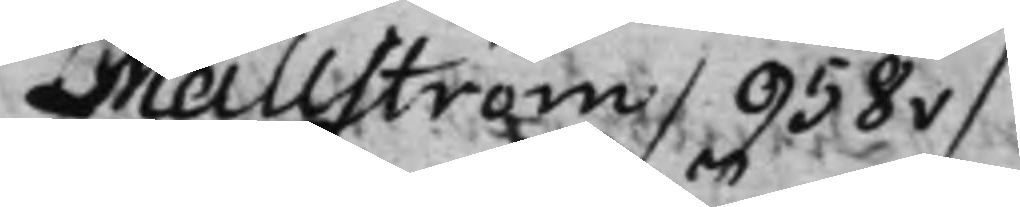Mällström / 958v /
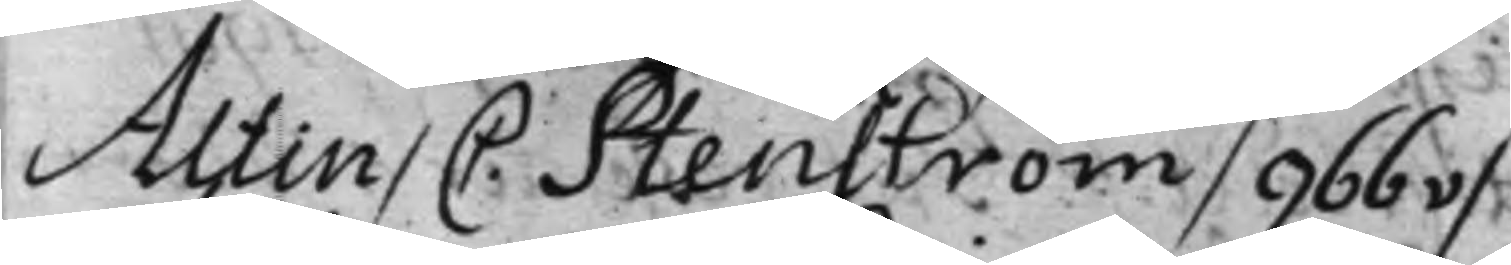Altin / C. Stenström / 966v /
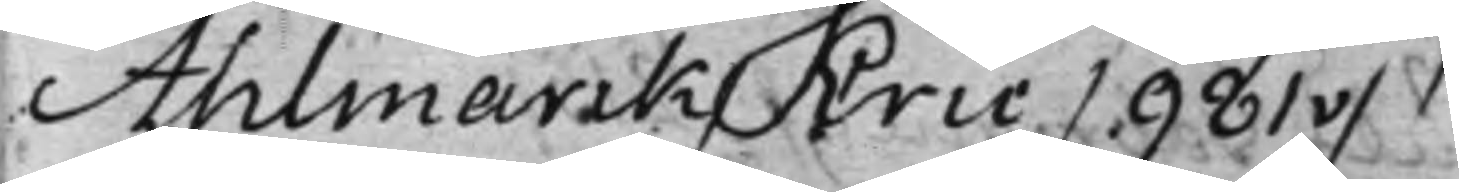Ahlmark / Eric / 981v /
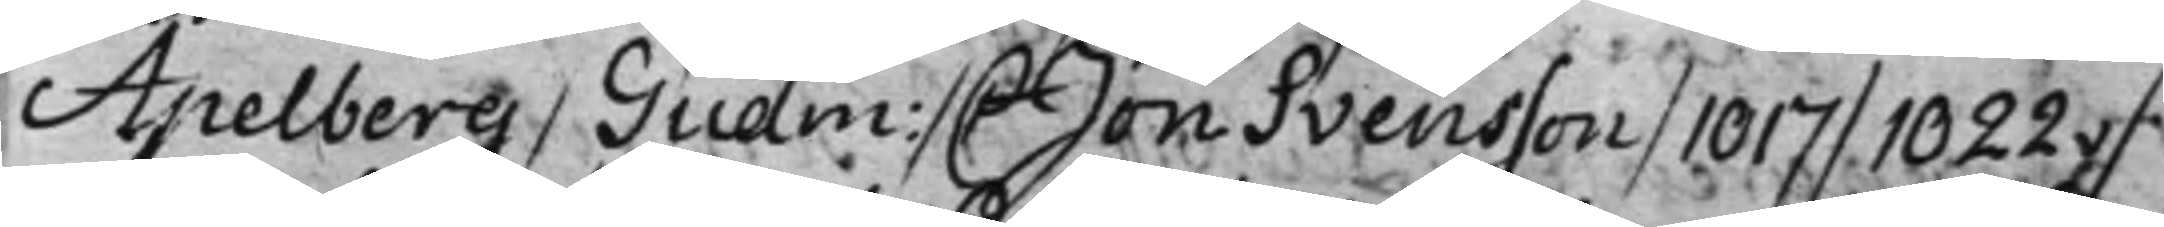Apelberg / Gudm: / C Jon Svensson / 1017 / 1022v /
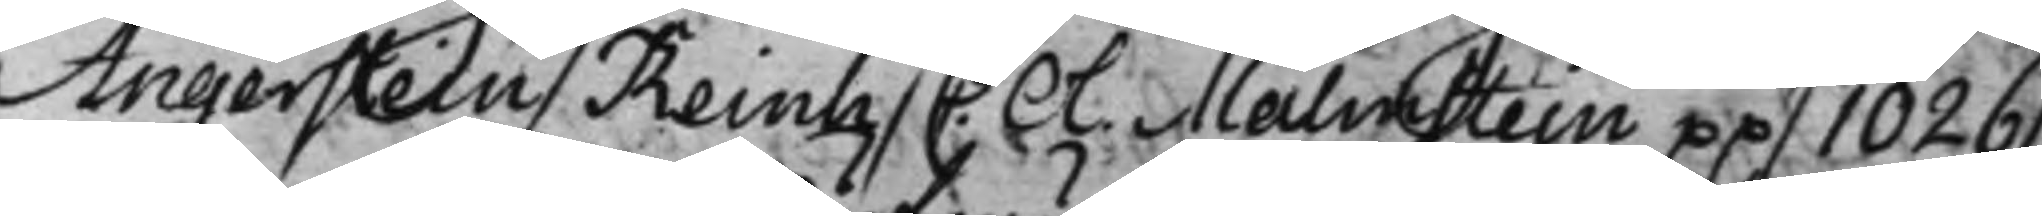Angerstein / Reinh / C. Ol. Malmstein pp / 1026 /
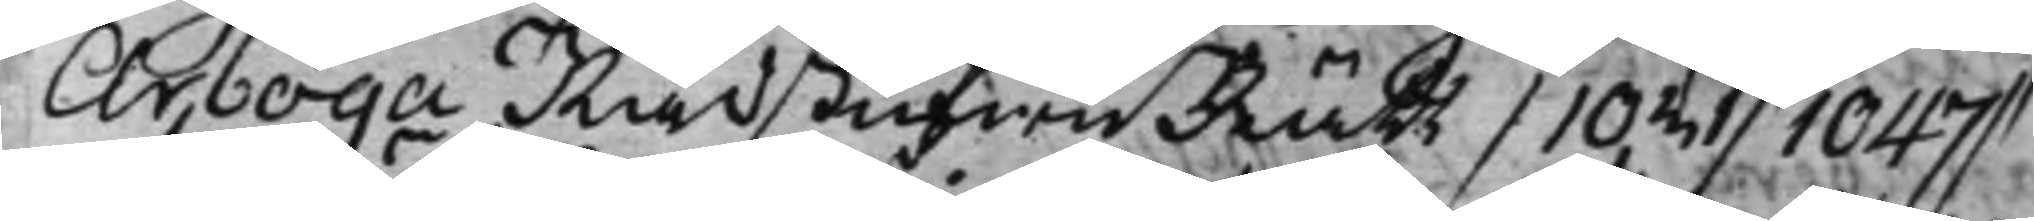Arboga RådstufwuRätt / 1031 / 1047 /
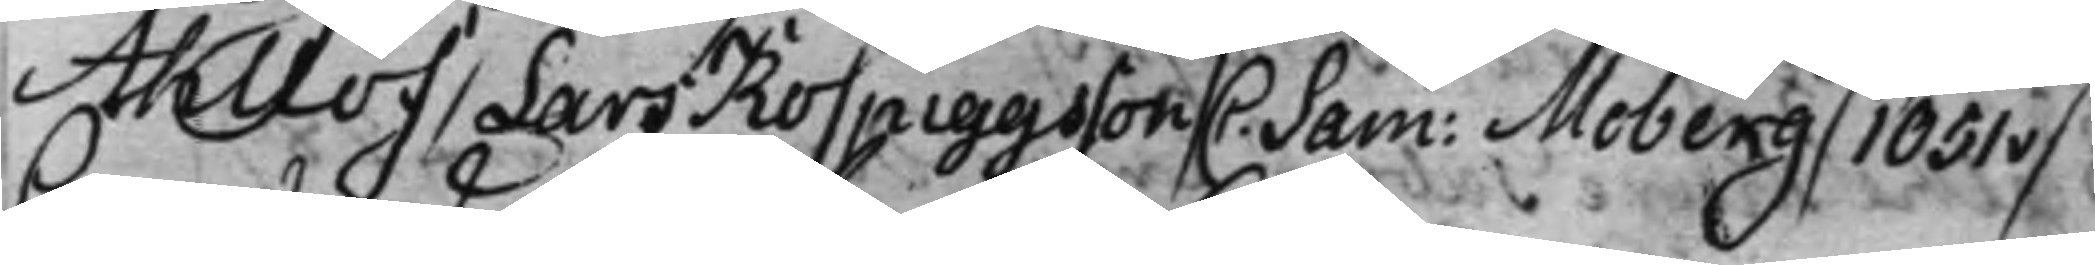Ahllöf / Lars Rospigsson / C. Sam: Moberg / 1051v /
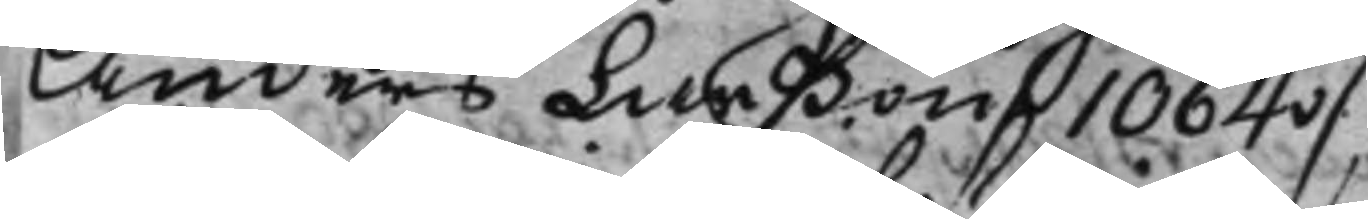Anders Larßon / 1064v / 
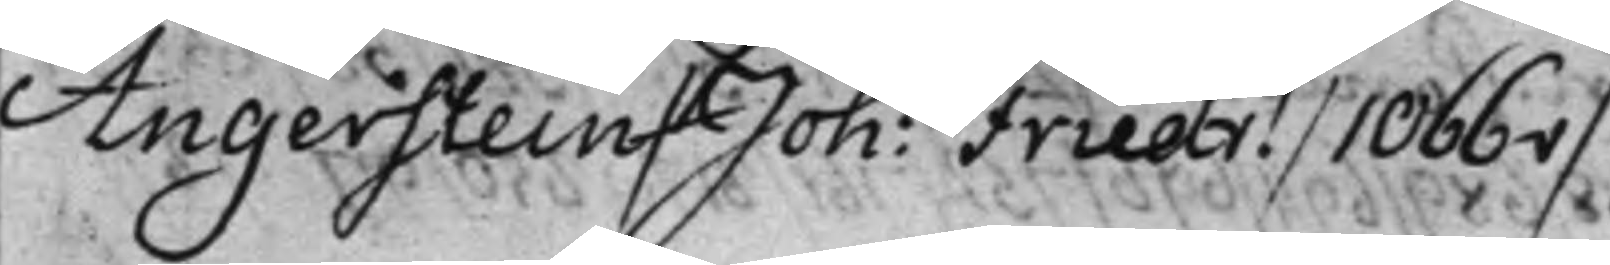Angerstein / Joh: Friedr. / 1066v /
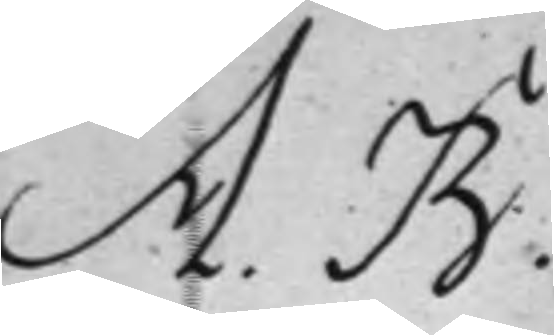A. B. 
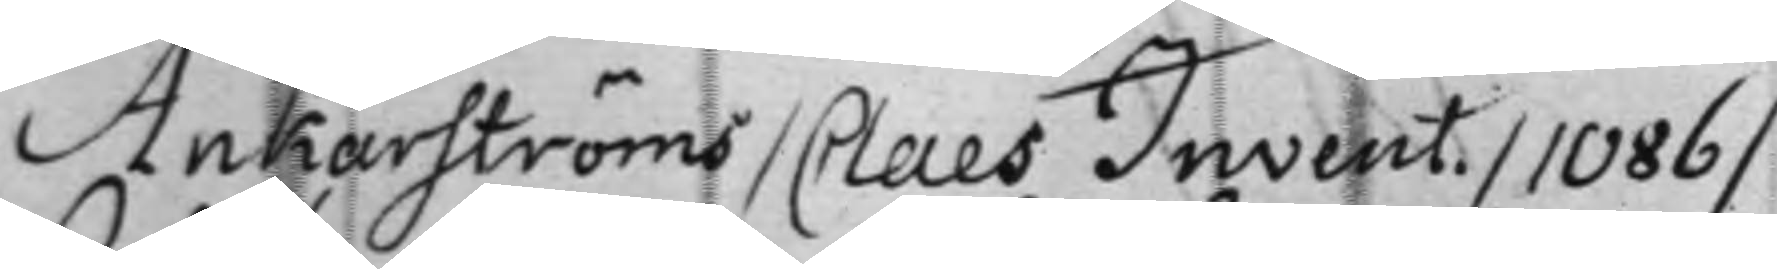Ankarströms / Invent. / 1086 /
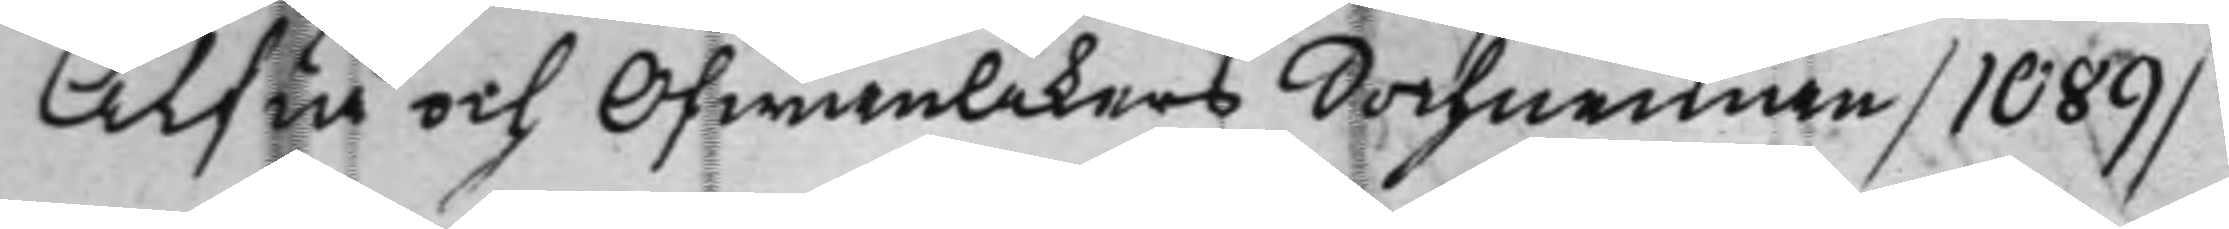Alfta och OfwanÅkers Sochnemän / 1089 /
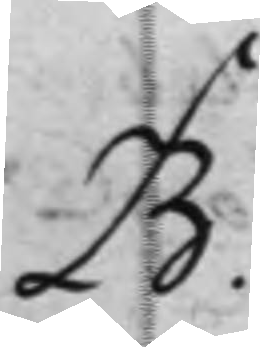B. 
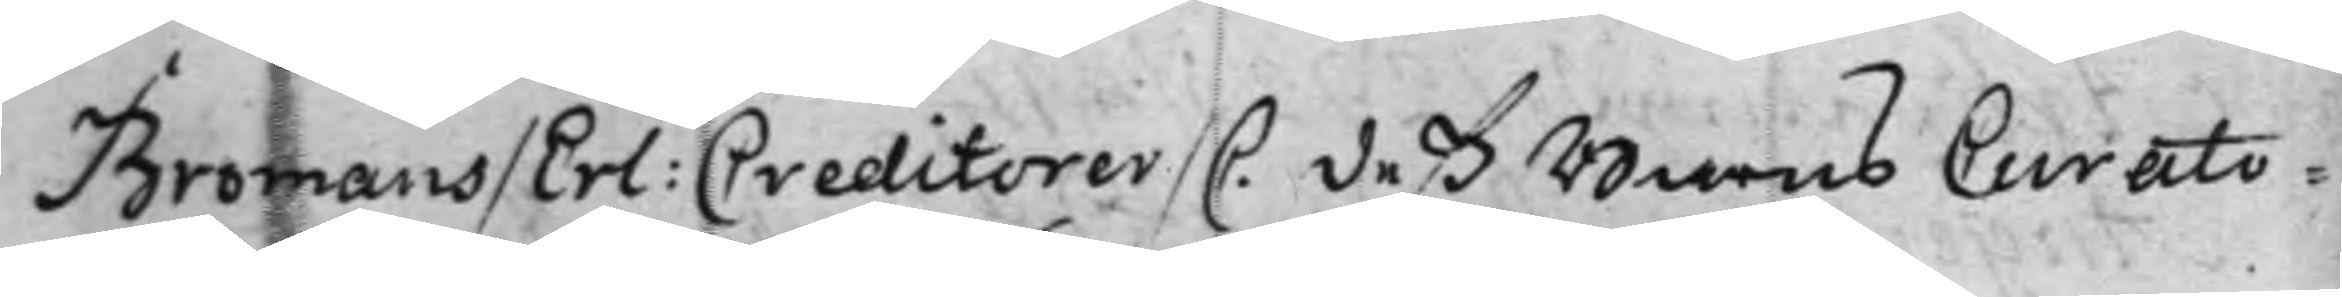Bromans / Erl: Creditorer / C. deß Barns Curato¬ 
